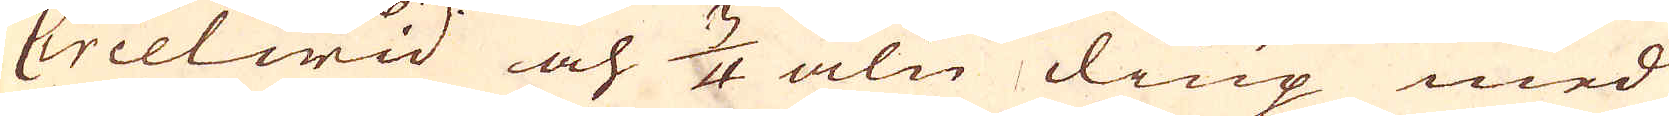Circelwid och 3/4 aln diup med
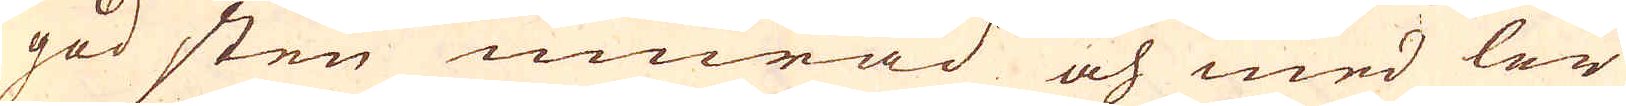god sten murad och med ler
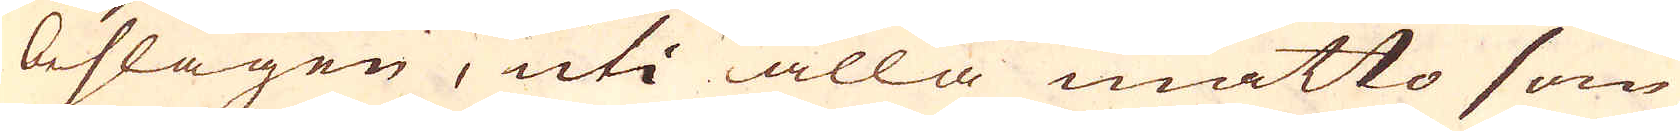beslagen, uti alla måtto som
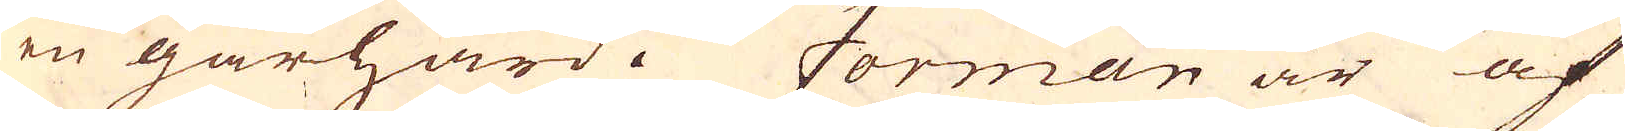en gårhärd. Forman är af
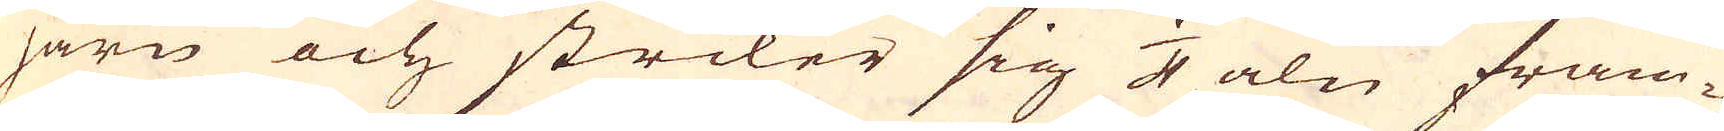järn och sträcker sig 4 aln fram-
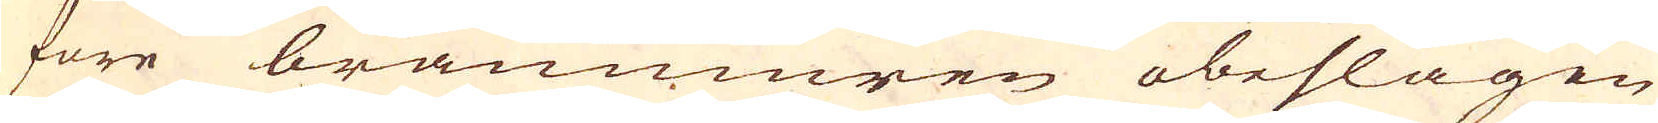före bränmmuren obeslagen
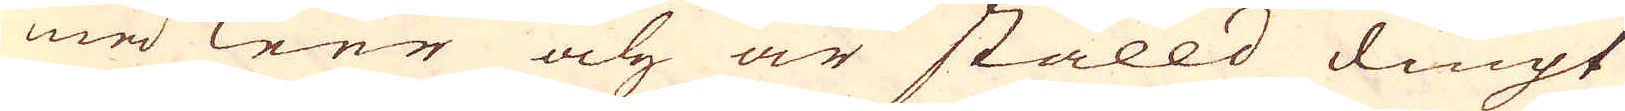med Leer och är ställd diupt
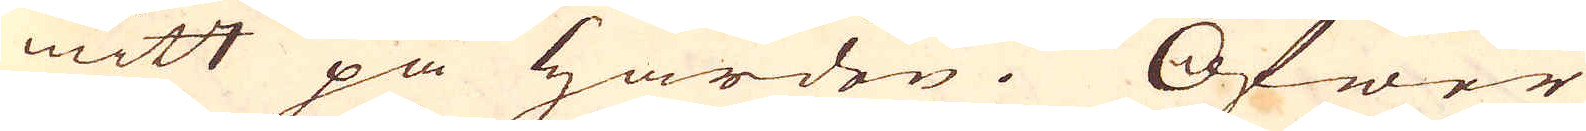mitt på härden. Öfwer
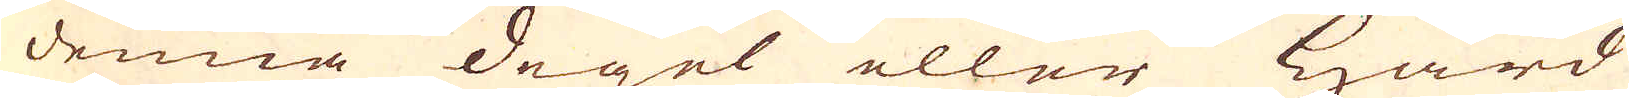denna degel eller Härd
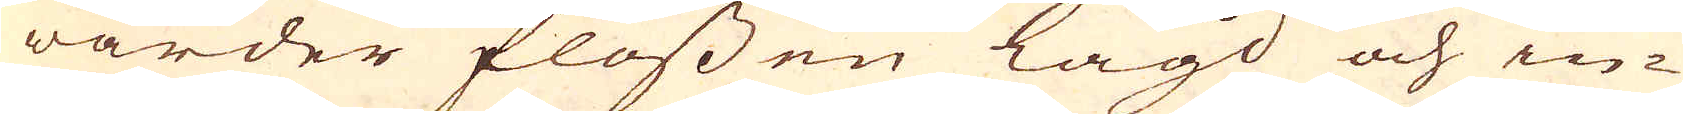warder flossen lagd och in-
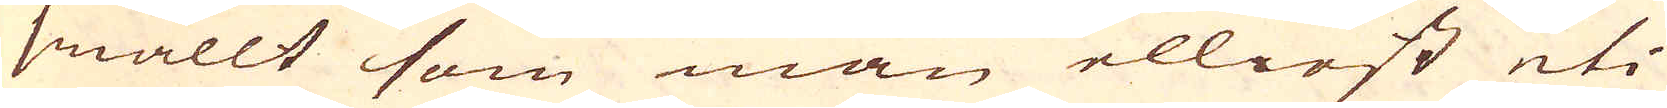smällt som man elliest uti
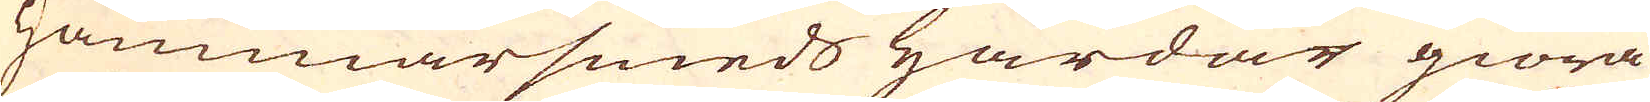Hammarsmeds härdar giöra
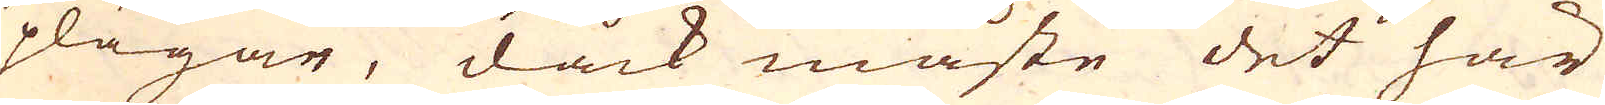plägar, dock måste det här
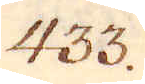433.
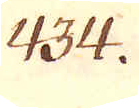434.
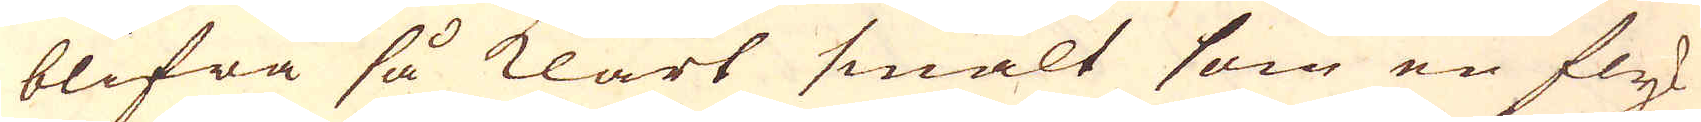blifwa så klart smält som en fly-
